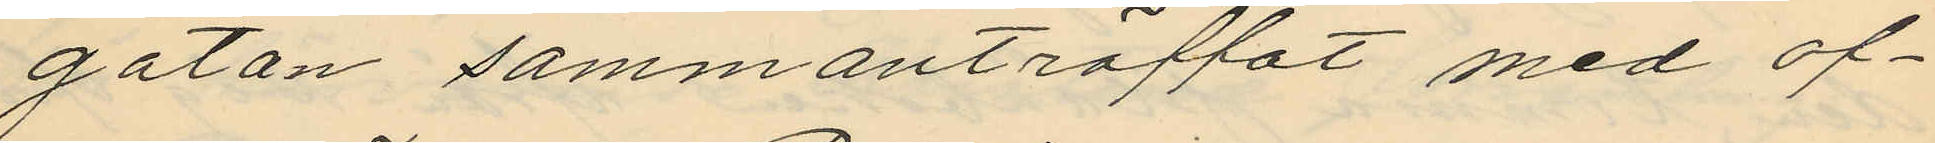gatan sammanträffat med of¬
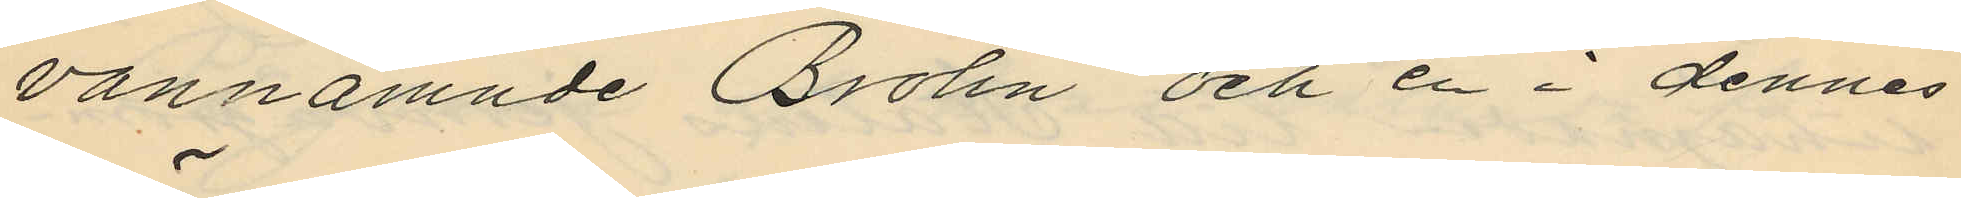vannamnde Brolin och en i dennes
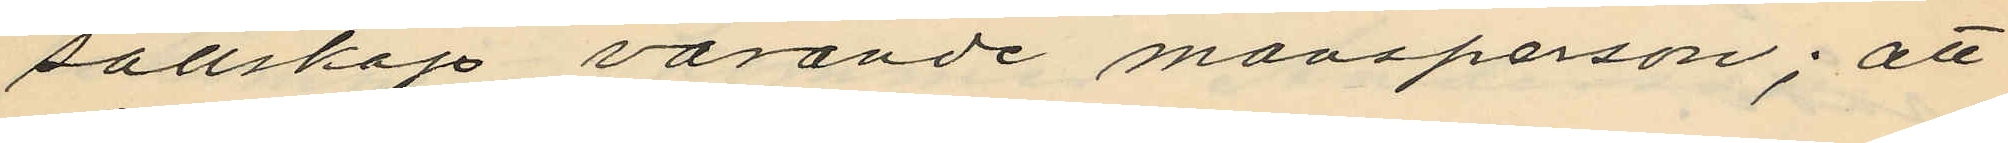sällskap varande mansperson; att
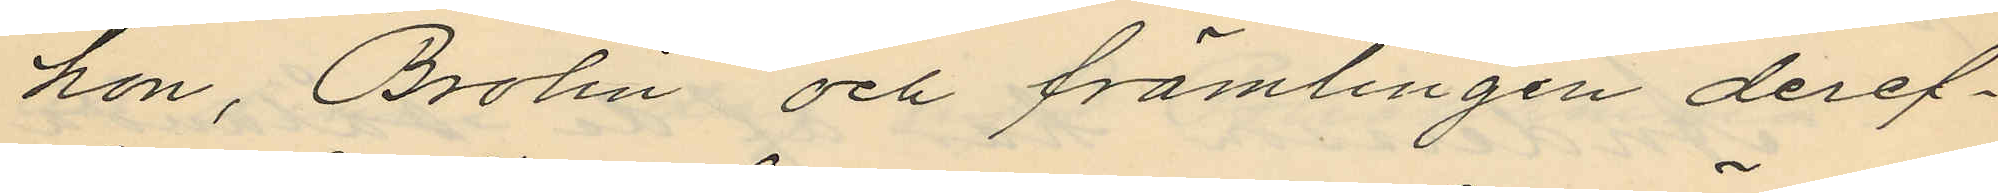hon, Brolin och främlingen deref¬
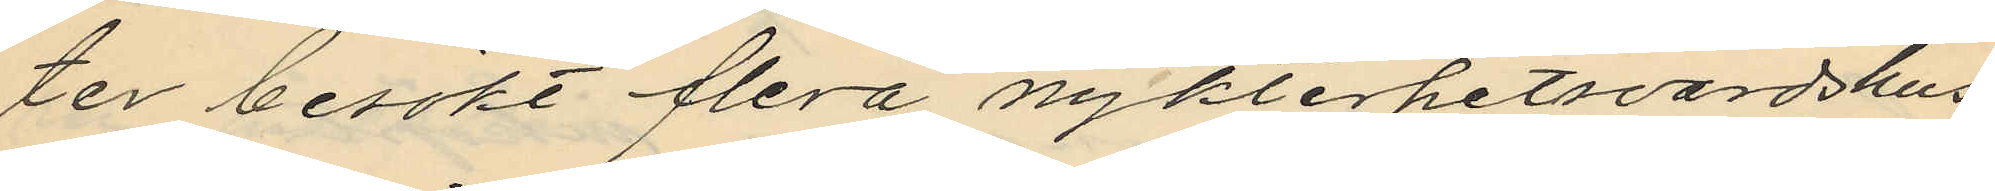ter besökt flera nykterhetsvärdshus
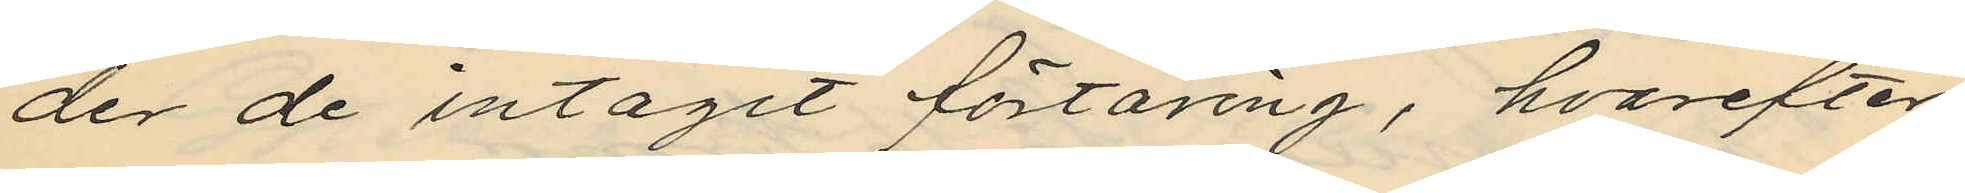der de intagit förtäring, hvarefter
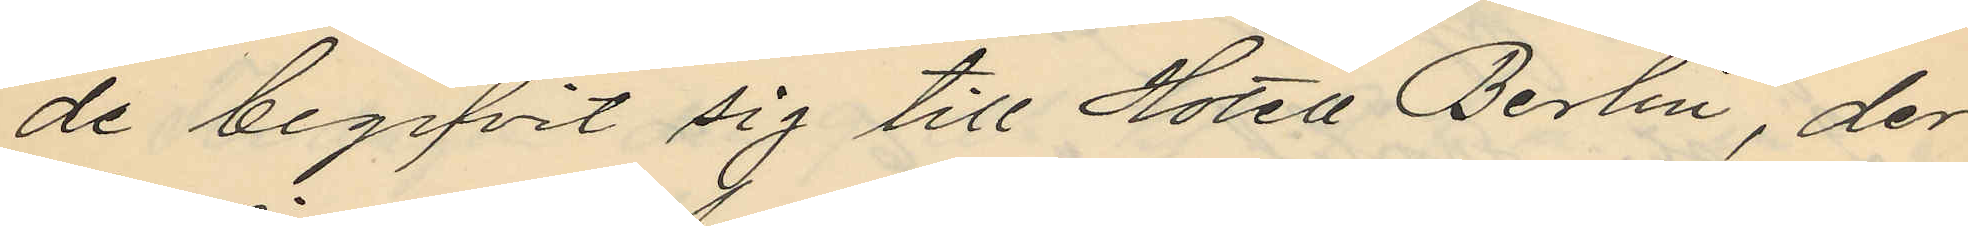de begifvit sig till Hotel Berlin, der
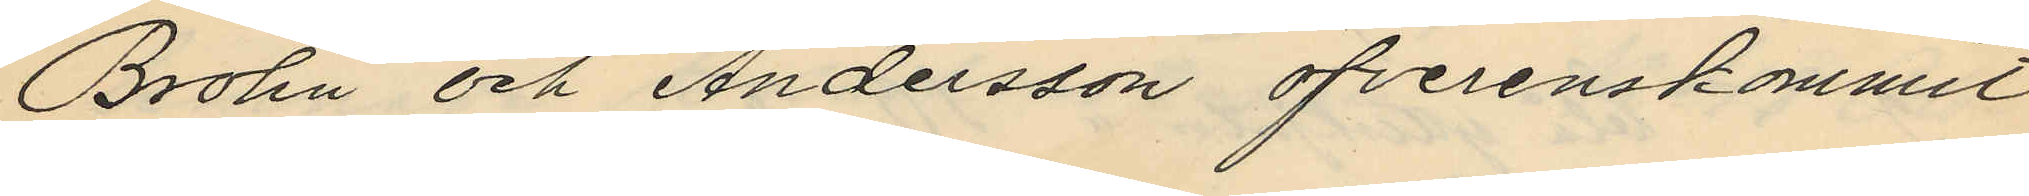Brolin och Andersson öfverenskommit
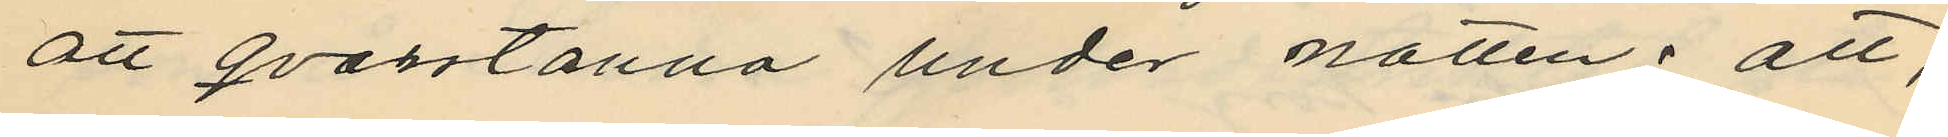att qvarstanna under natten; att
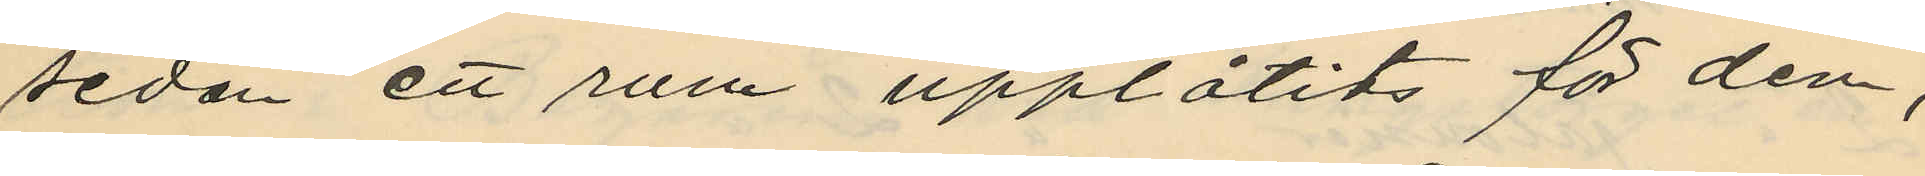sedan ett rum upplåtits för dem,
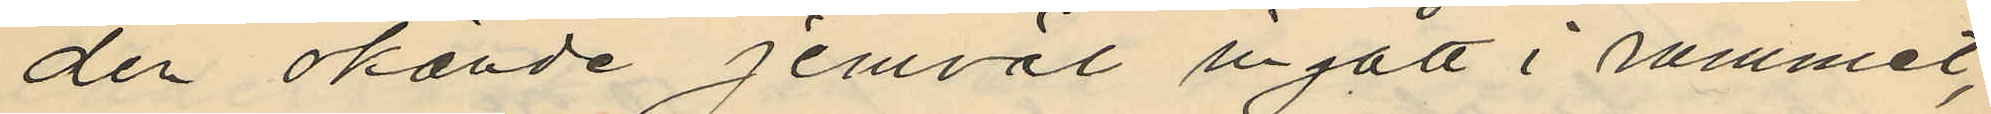den okände jemväl ingått i rummet,
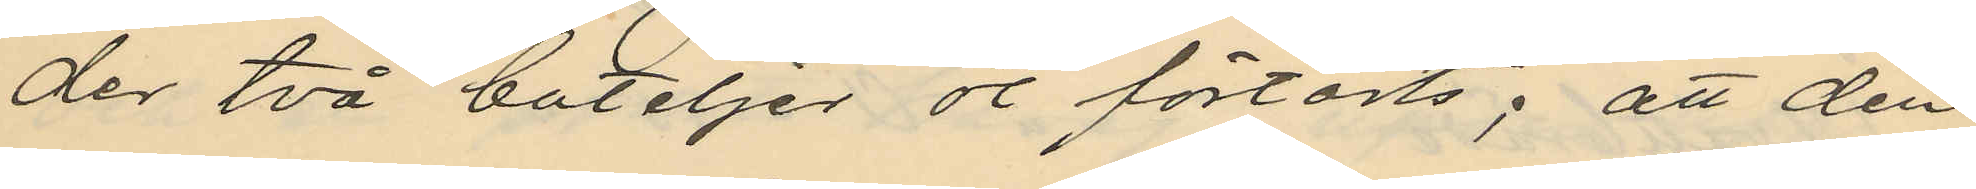der två buteljer öl förtärts; att den
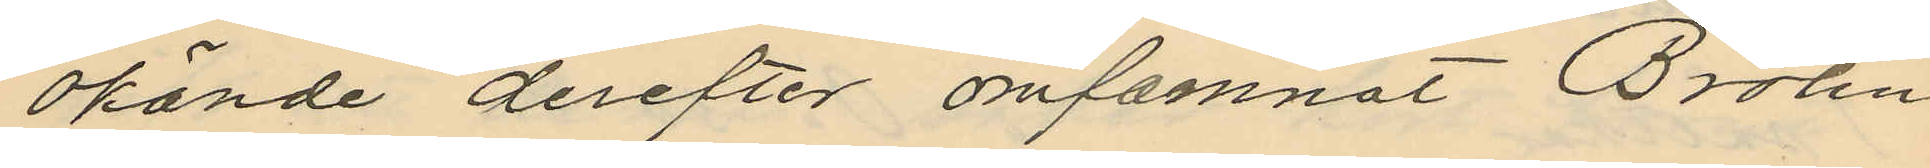okände derefter omfamnat Brolin
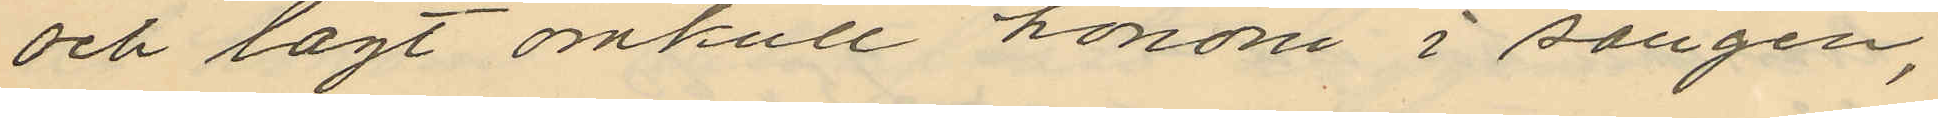och lagt omkull honom i sängen,
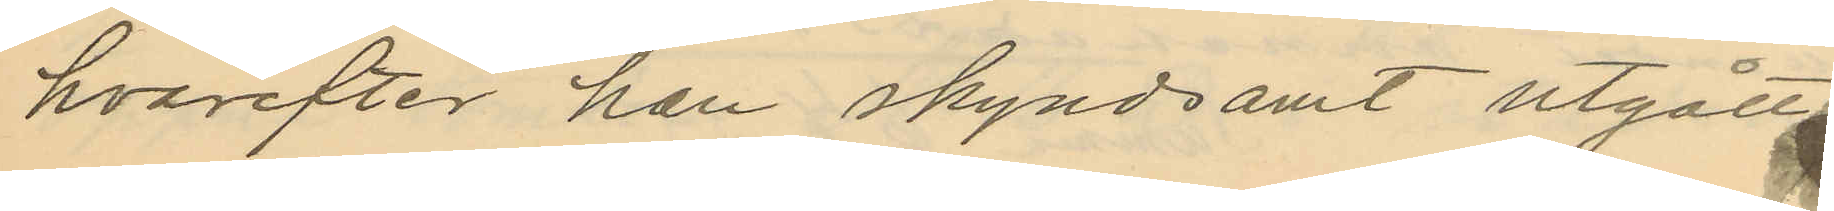hvarefter han skyndsamt utgått i
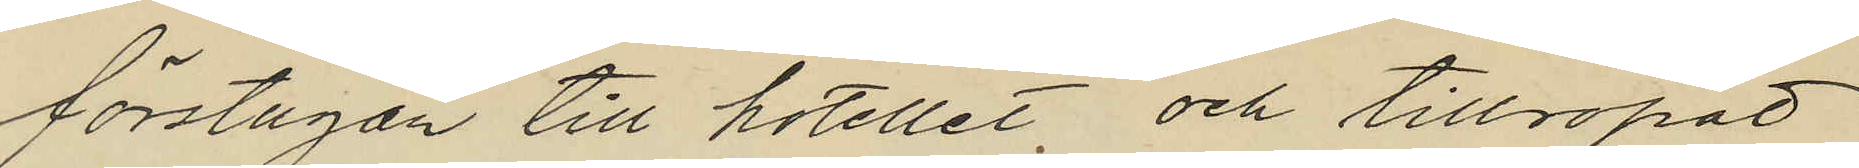förstugan till hotellet och tillropat
